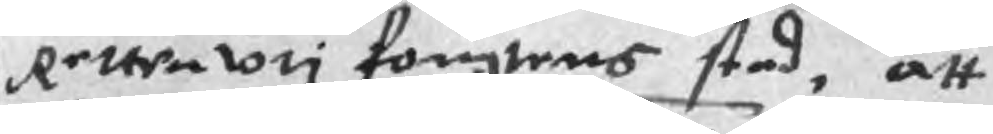Retten vti fougtens sted, att
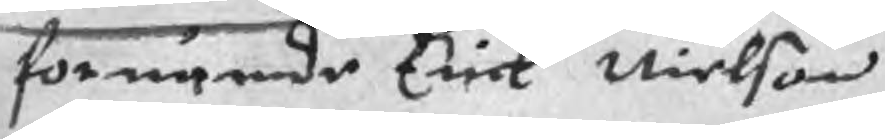förnämde Erick Nielson
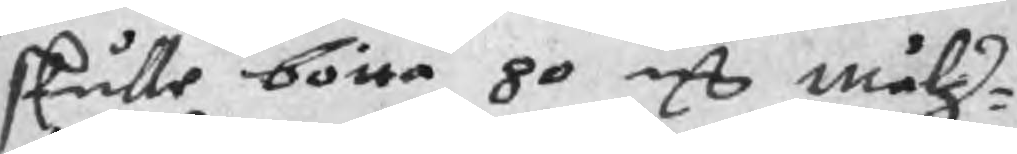skulle bötta 80 mC målz¬
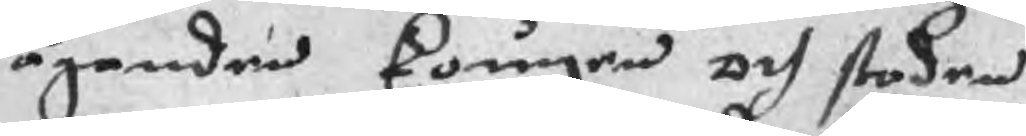äganden kougen och staden
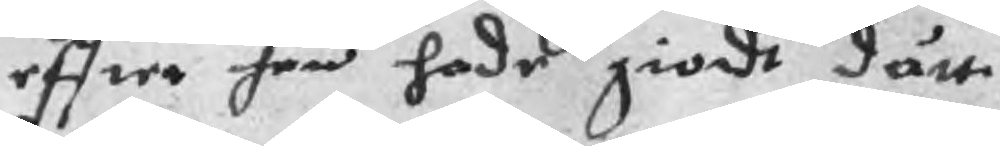effter han hade giordt dätt
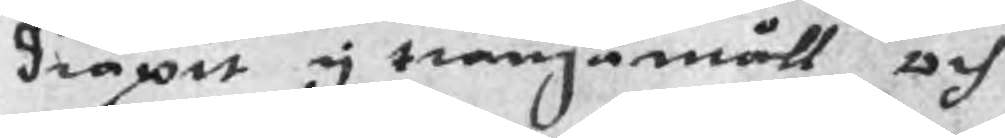dråpit y trångamåll och
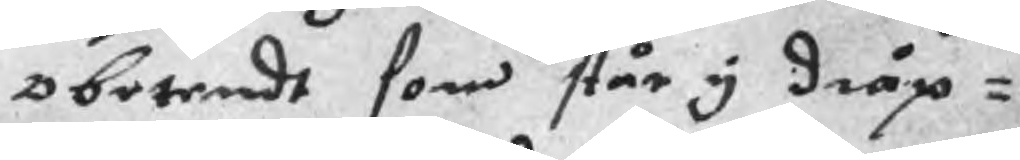obetendt som står y dråp¬
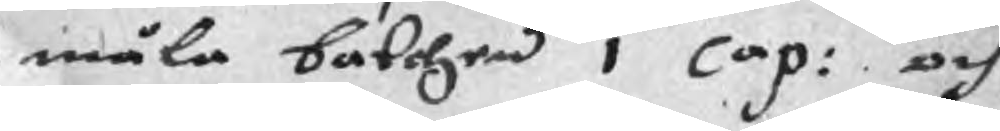måla balchen 1 Cap: och
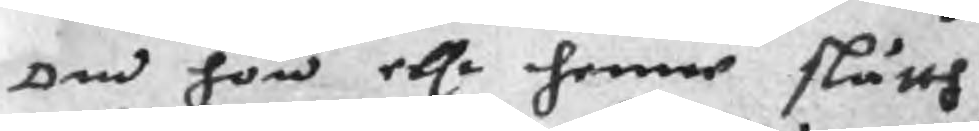om hon ellr henne slätth
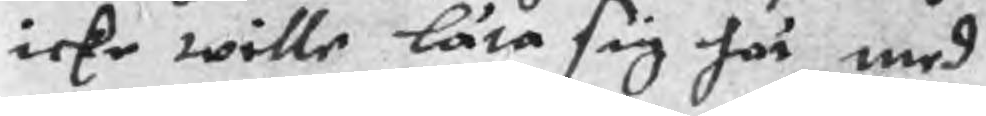icke wille låta sig här med
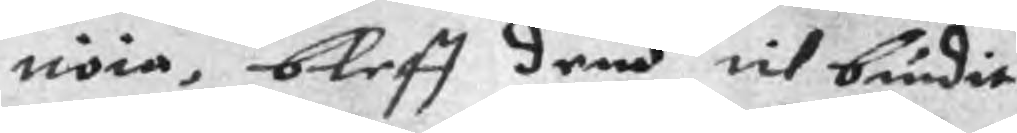nöia, bleff dem til biudit
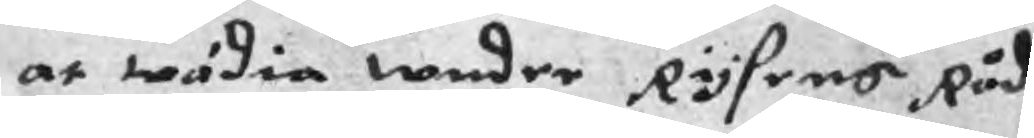at wädia wnder Rysens Råd
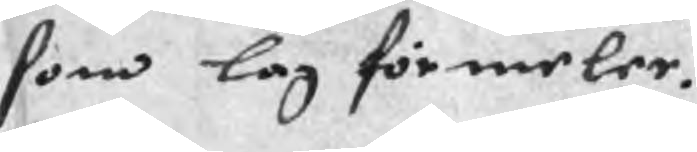som lag förmeler.
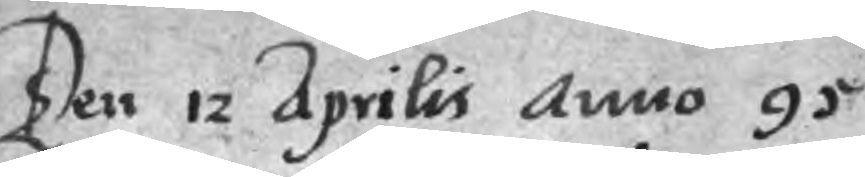Ten 12 Aprilis anno 95
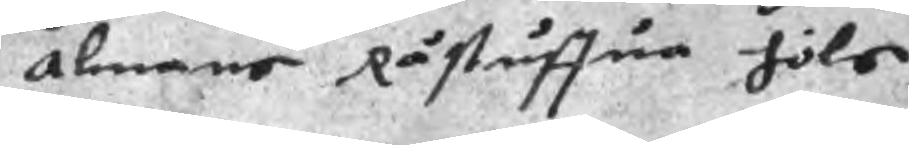Alnans Råstuffua höls
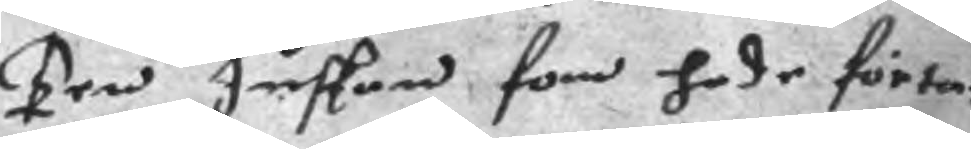Ten Juskan, som hade förta¬
